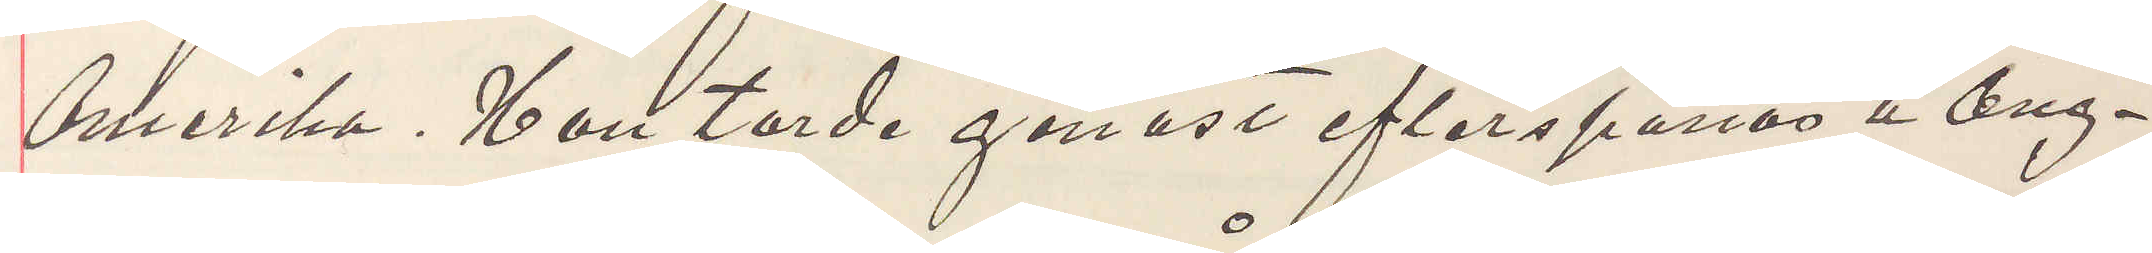Amerika. Han torde genast efterspanas å Ång¬
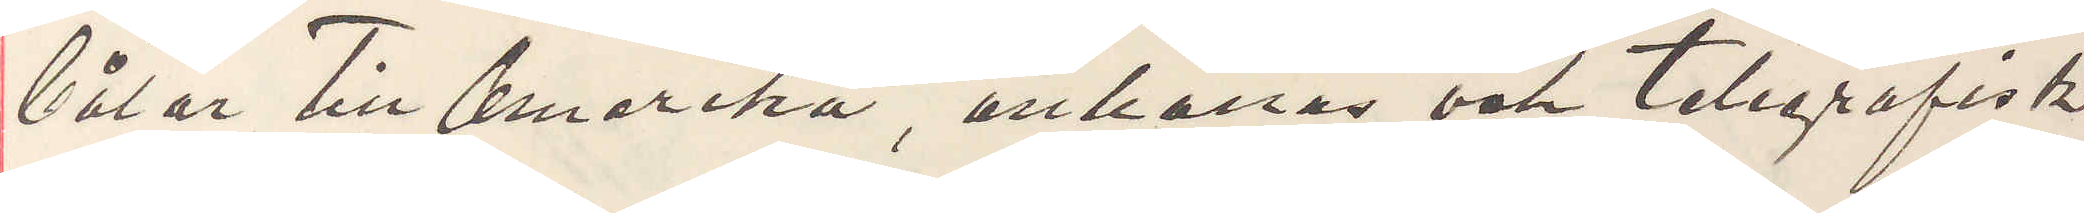båtar till Amerika, anhållas och telegrafisk
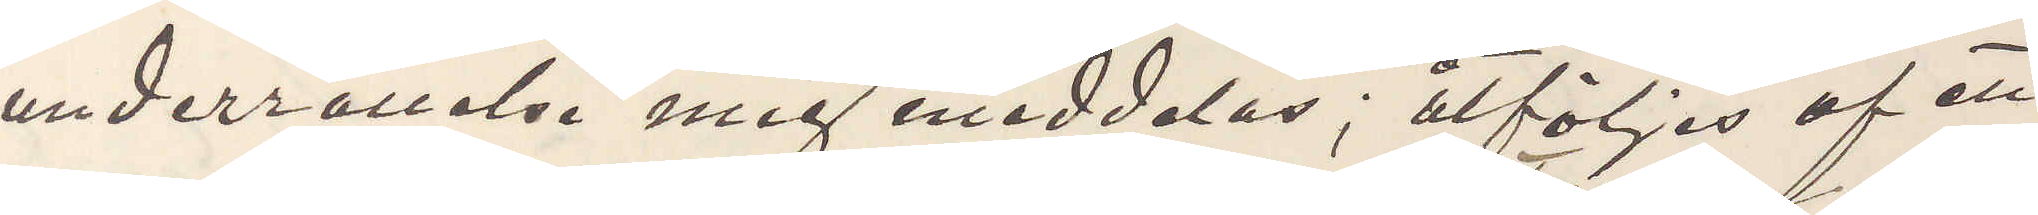underrättelse mig meddelas; åtföljs af ett
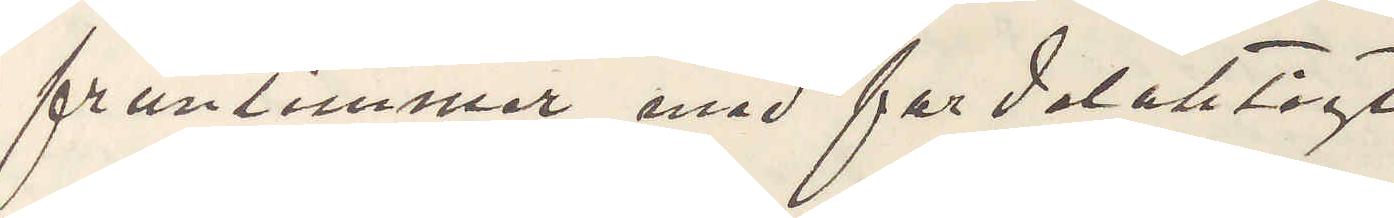fruntimmer med fordelaktigt
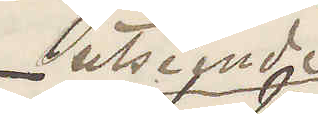utseende
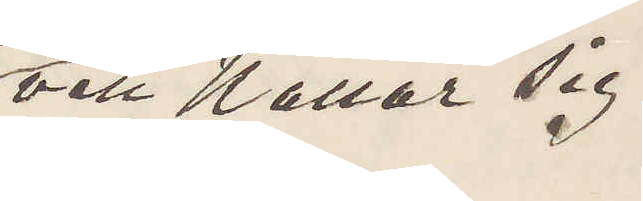och kallar sig
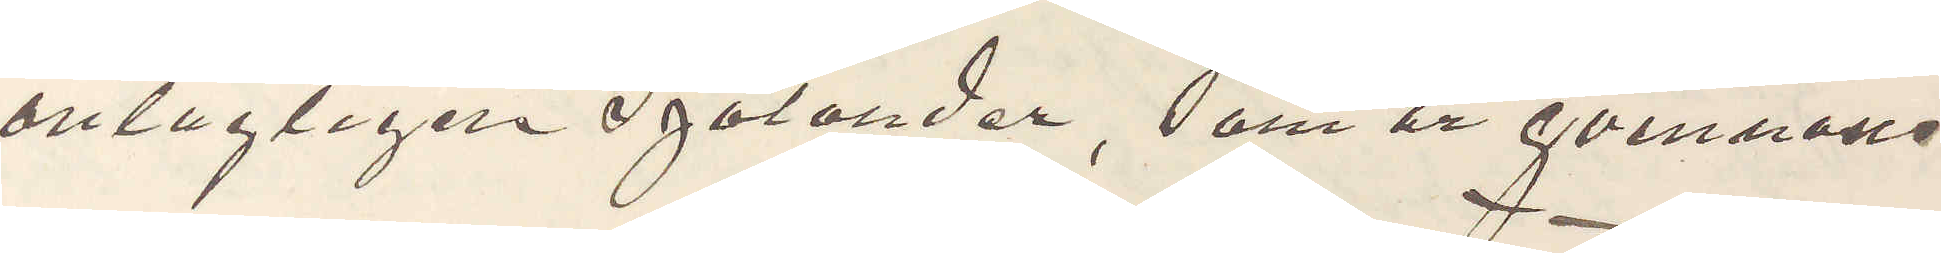antagligen Sjölander, som är qvinnans
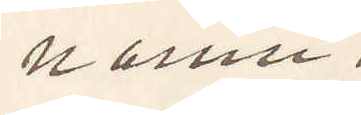namn.
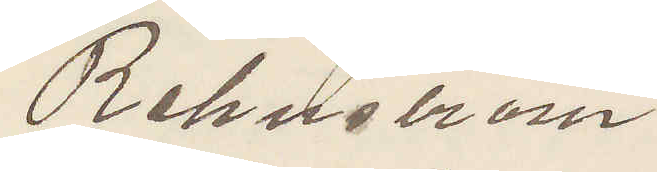Rehnström
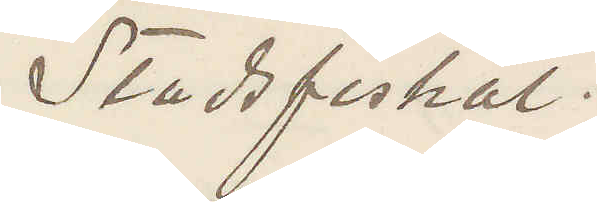Stadsfiskal.
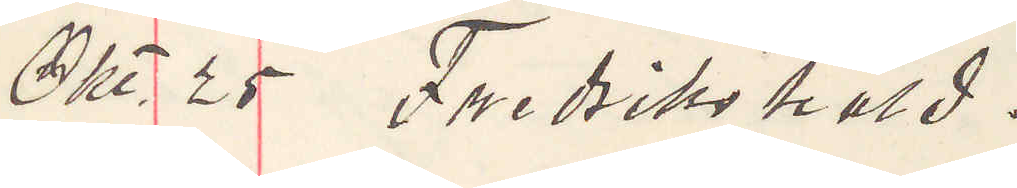Okt. 25 Fredrikshald.
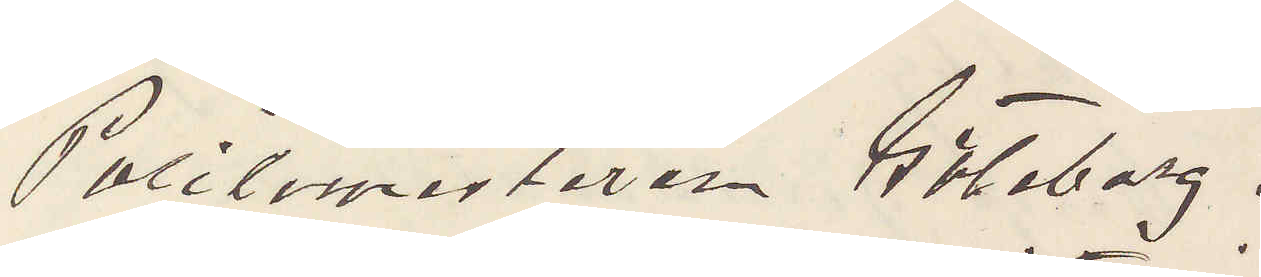Politimesteren Göteborg.
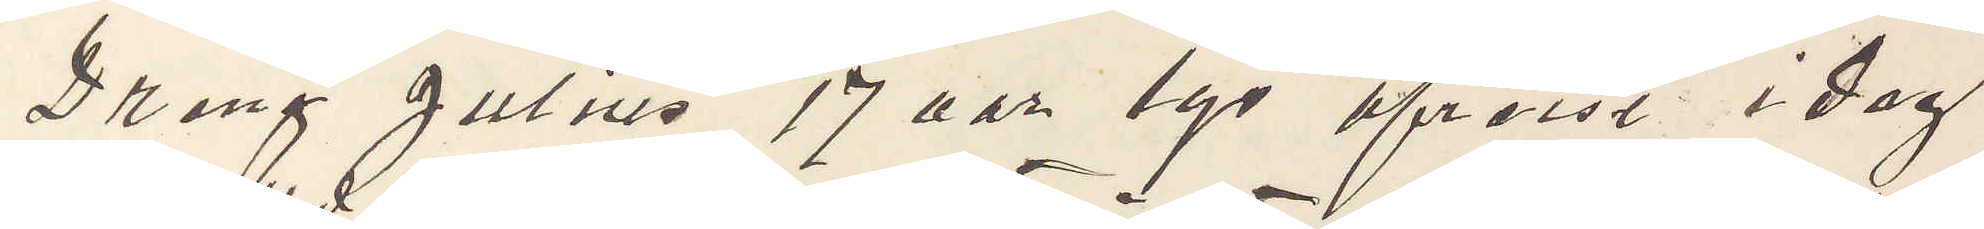Dreng Julius 17 aar lys afreist i dag
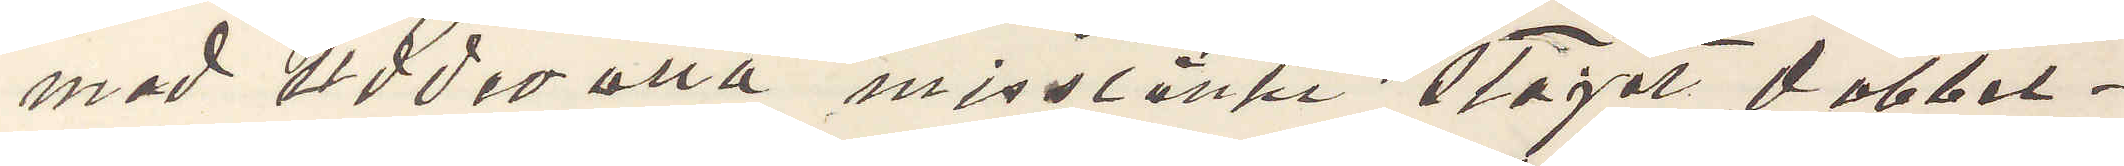med Uddevalla misstänkt stajet dobbel¬
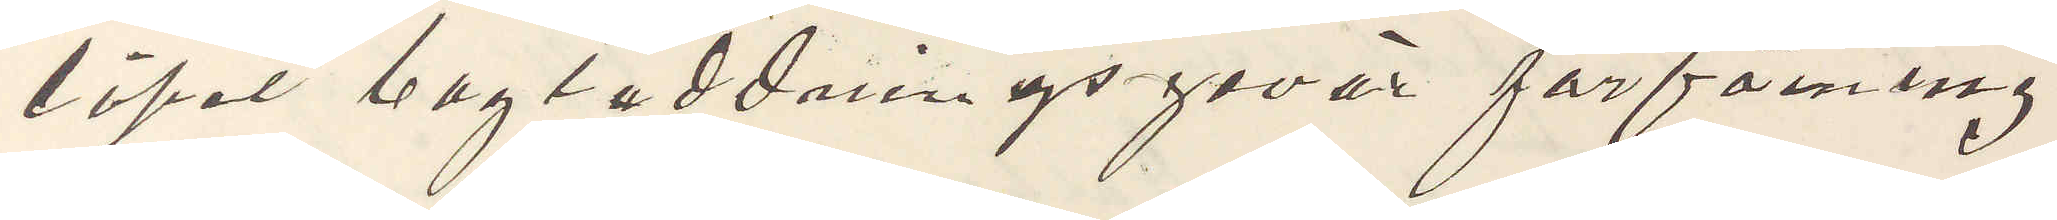löpet bagladdningsgevär forföining
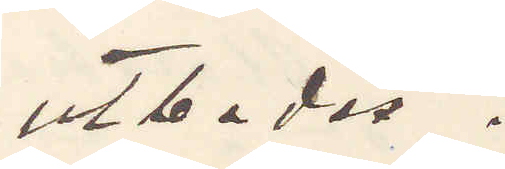utbedes.
